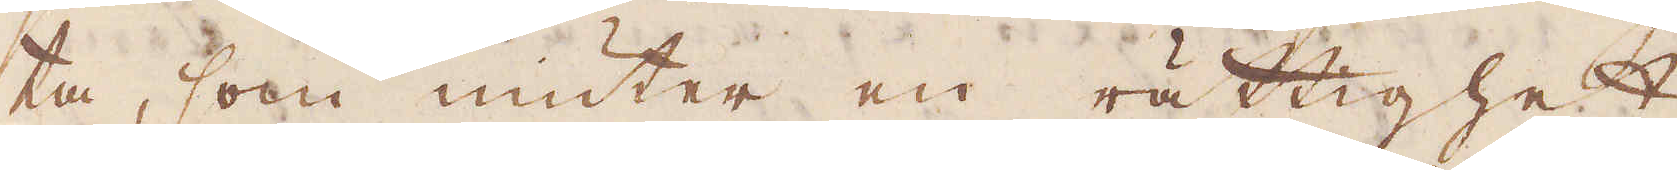ta, som niuter en rättighet
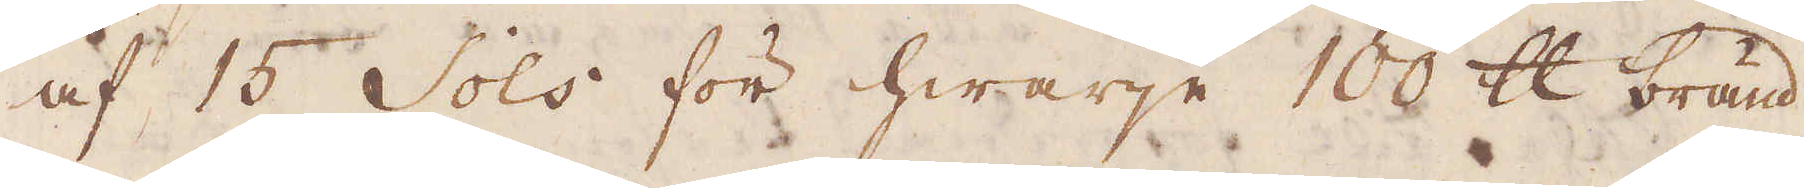af 15 Sols för hwarje 10 skålpund bränd
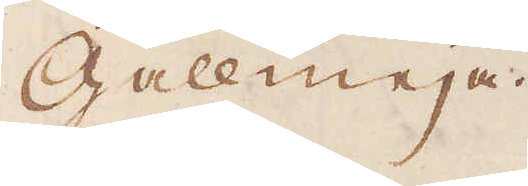Gallmeja.
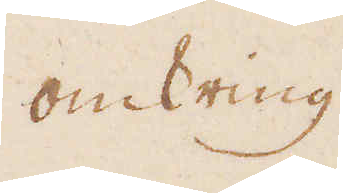omkring
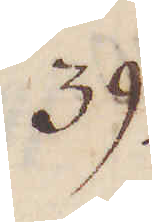39.
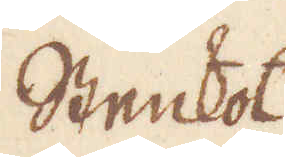Stenkol
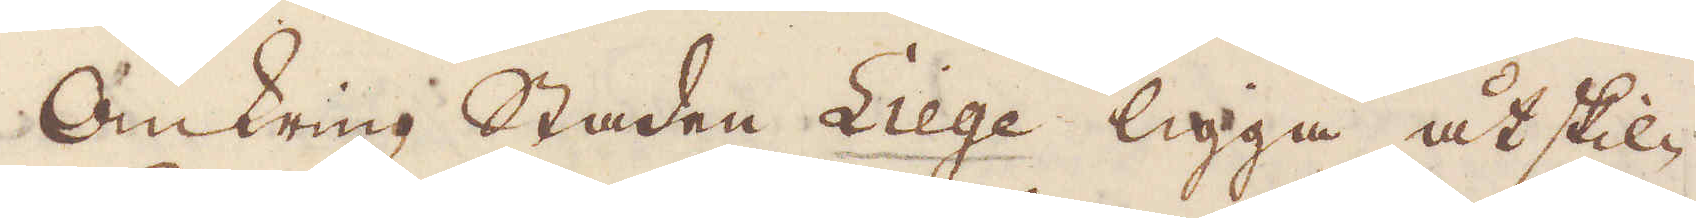Omkring staden Liege ligga åtskil-
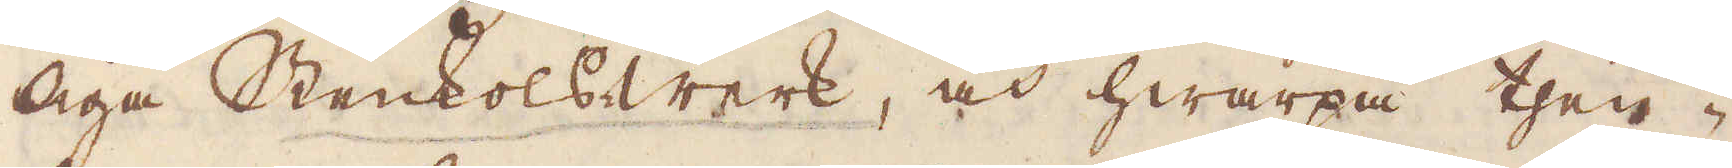liga Stenkolswerk, och hwarpå ther-
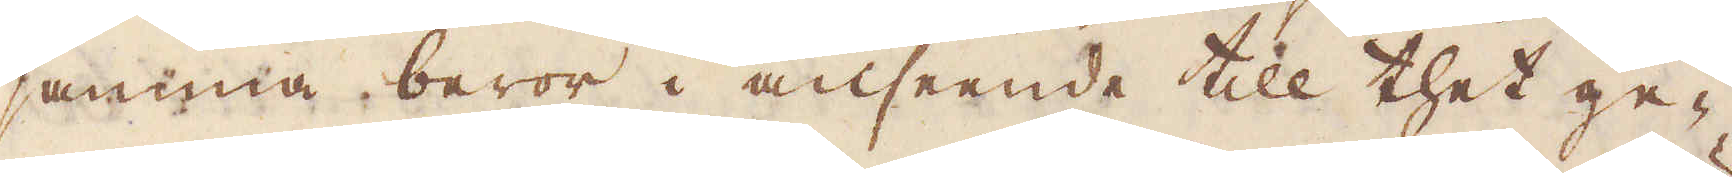samma beror i anseende till thet ge-
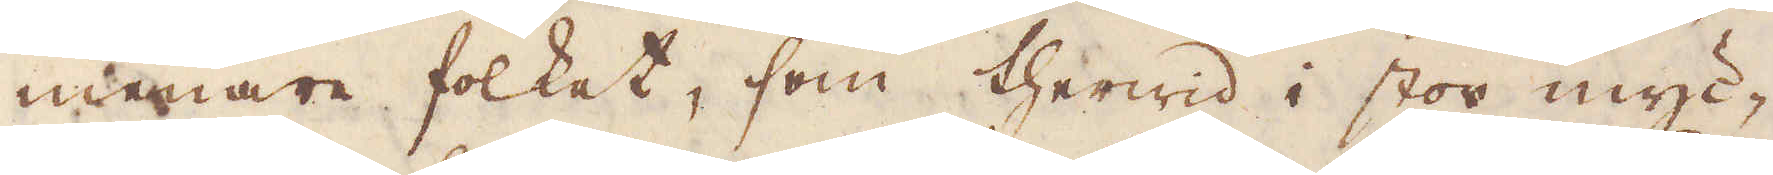menare folket, som therwid i stor myc-
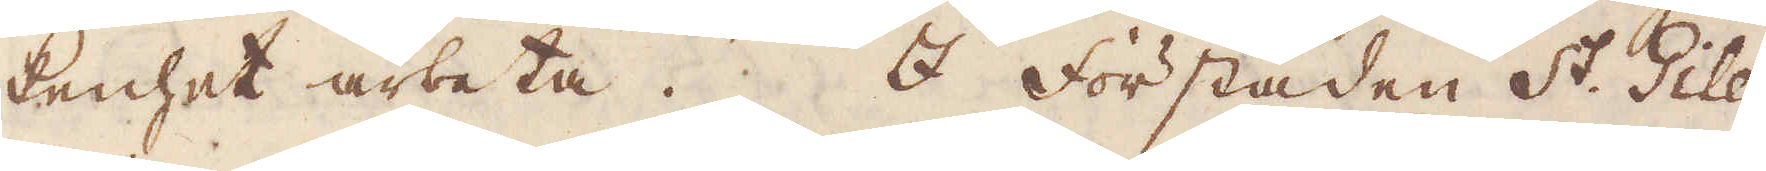kenhet arbeta. I förstaden St. Giles
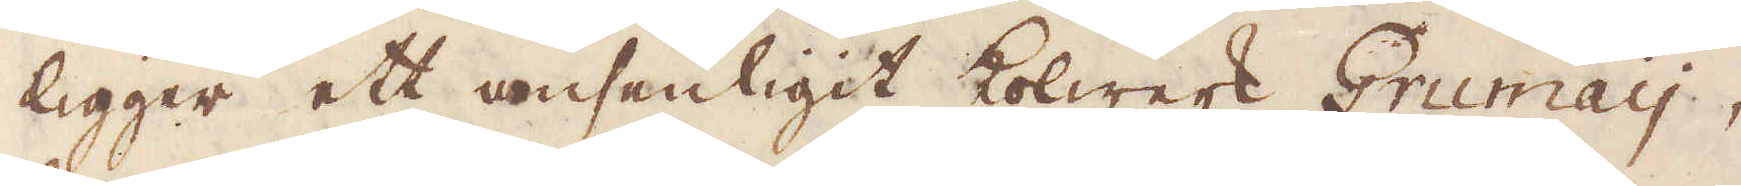ligger ett ansenligit kolwerk Grumay,
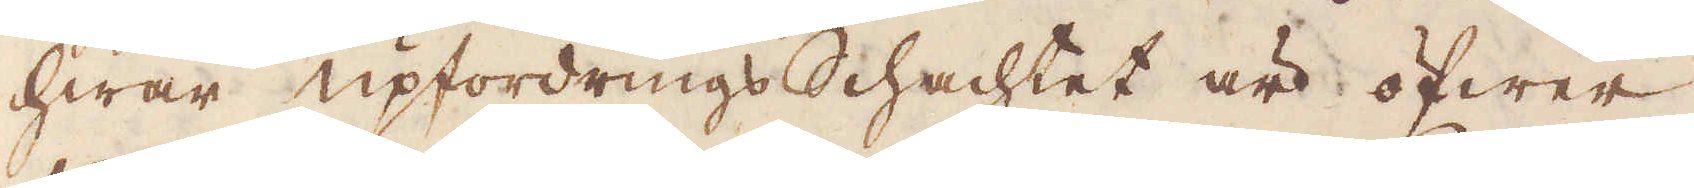hwar upfordrings schachtet är öfwer
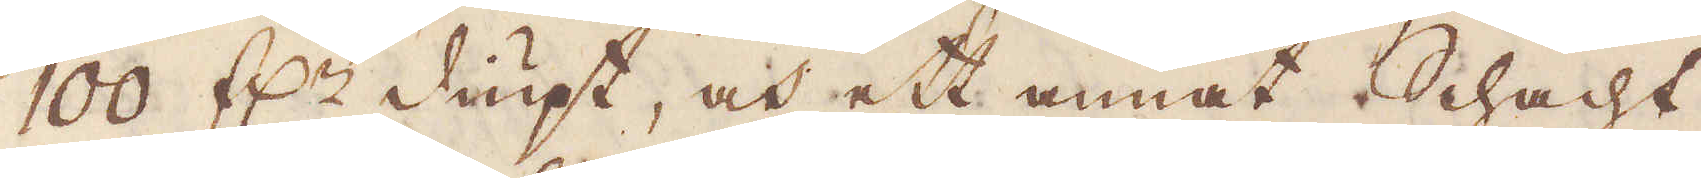100 f:r diupt, och ett annat Schacht
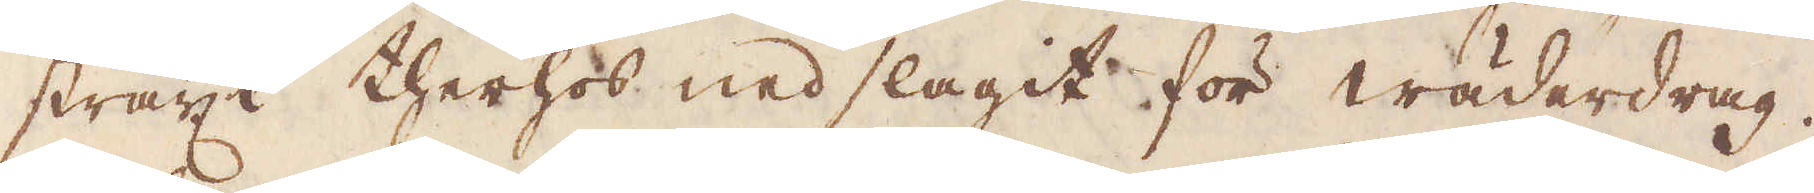straxt therhos nedslagit för wäderdrag.
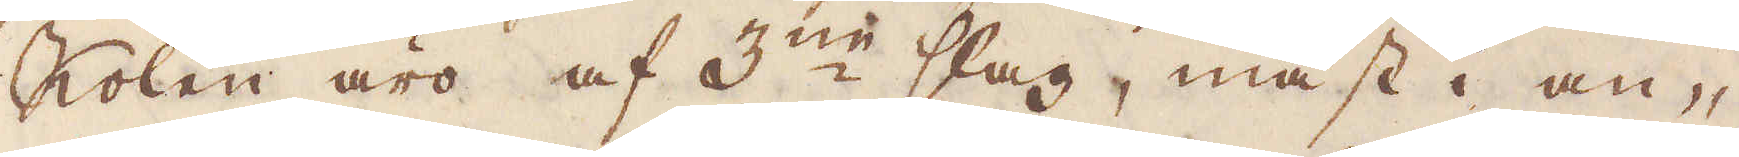Kolen äro af 3:ne slag, mäst i an-
